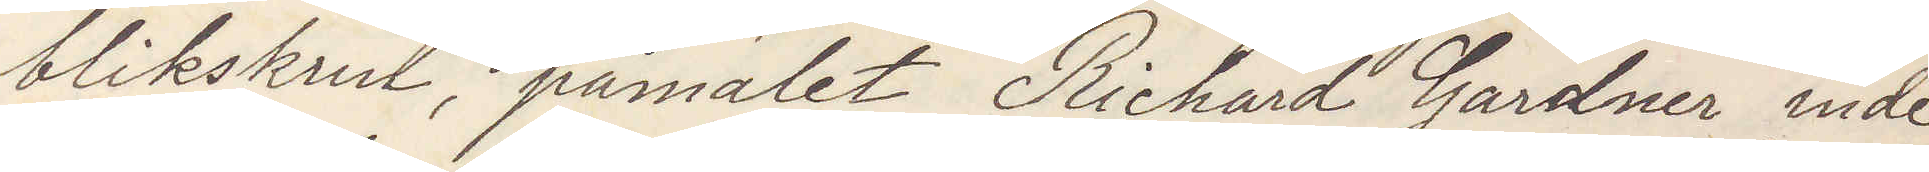blikskrin, påmalet "Richard Gardner" inde¬
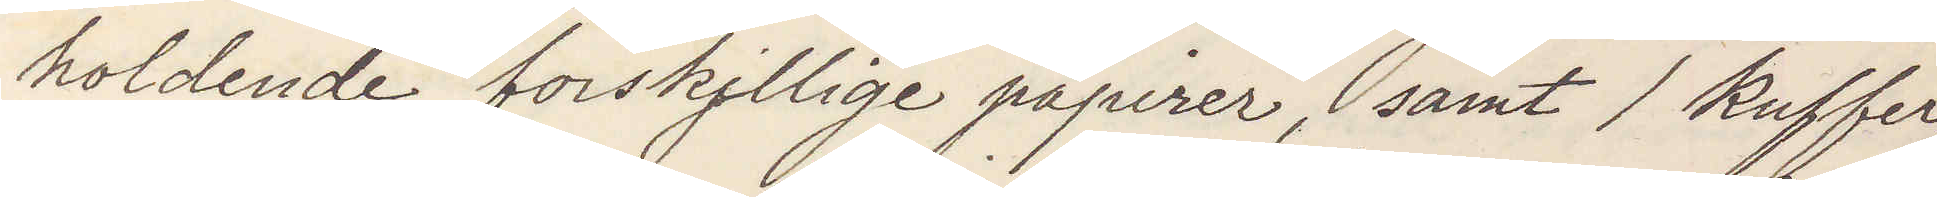holdende forskjllige papirer, samt 1 kuffer,
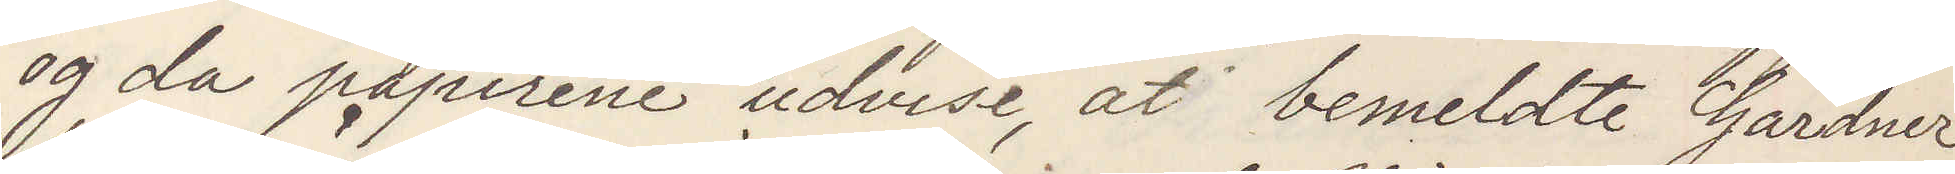og da papirene udvise, att bemeldte Gardner
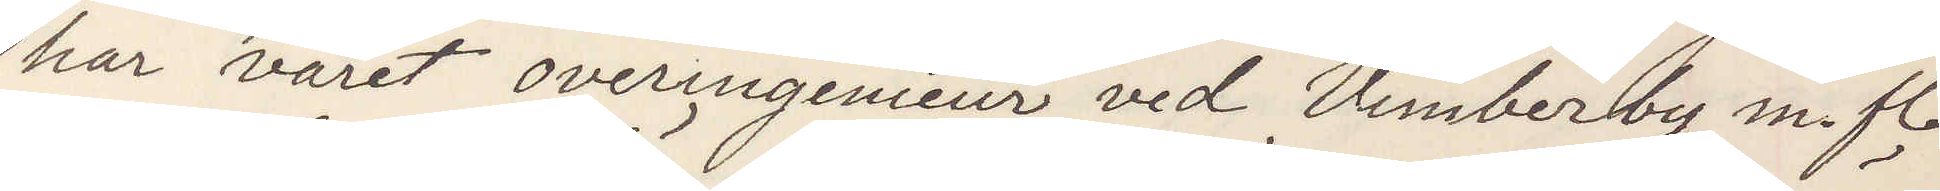har varet overingenieur ved Wimberby m fl
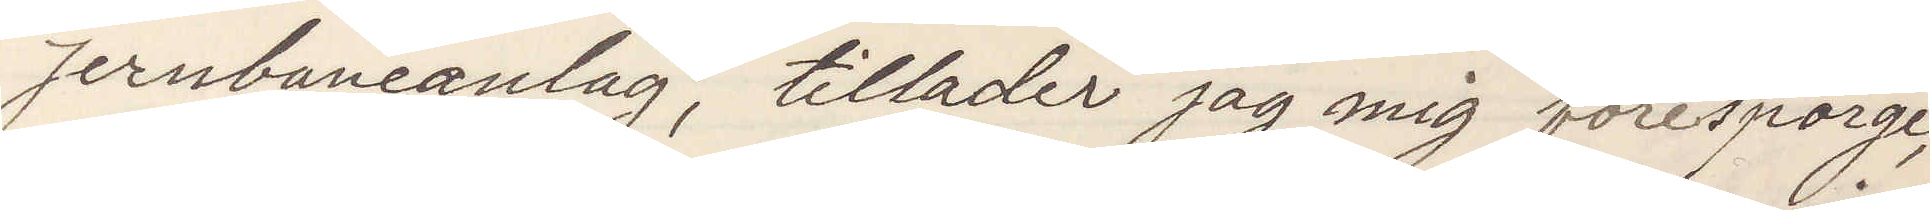Jernbaneanlag, tillader jag mig forespörge,
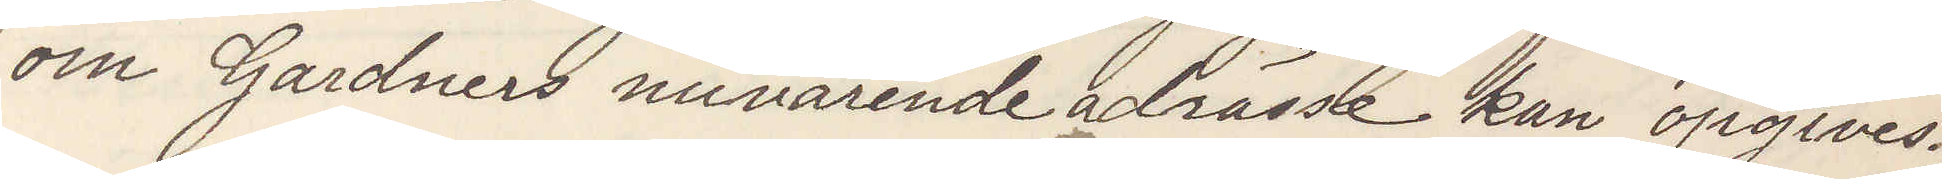om Gardners nuvarande adrässe kan opgives.
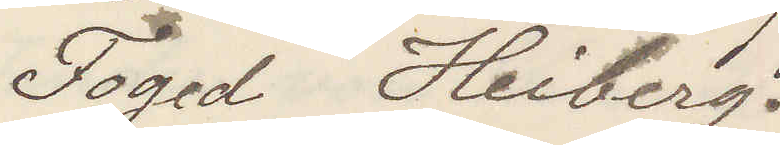Foged Heiberg.
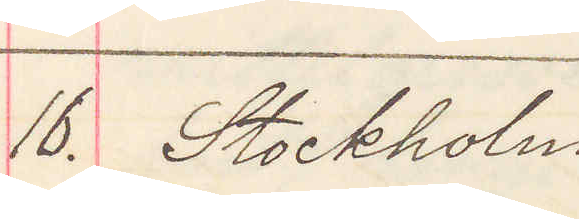16. Stockholm
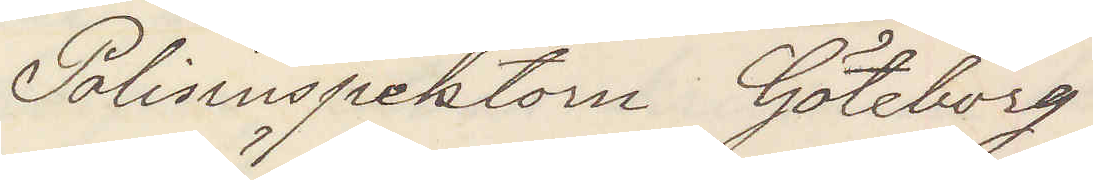Polisinspektorn Göteborg
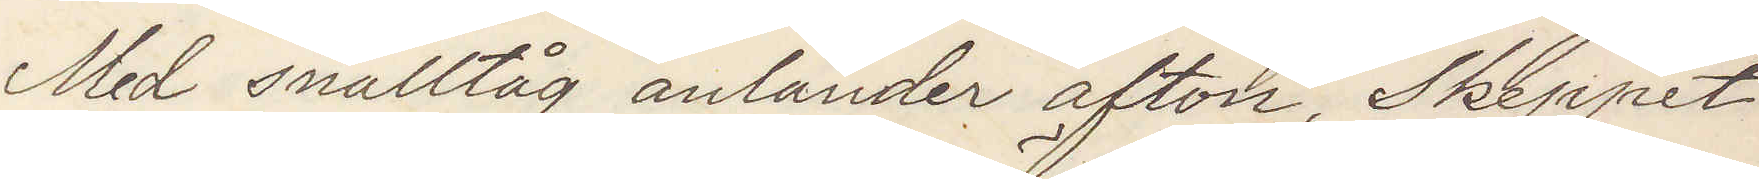Med snälltåg anländer afton, Skeppet
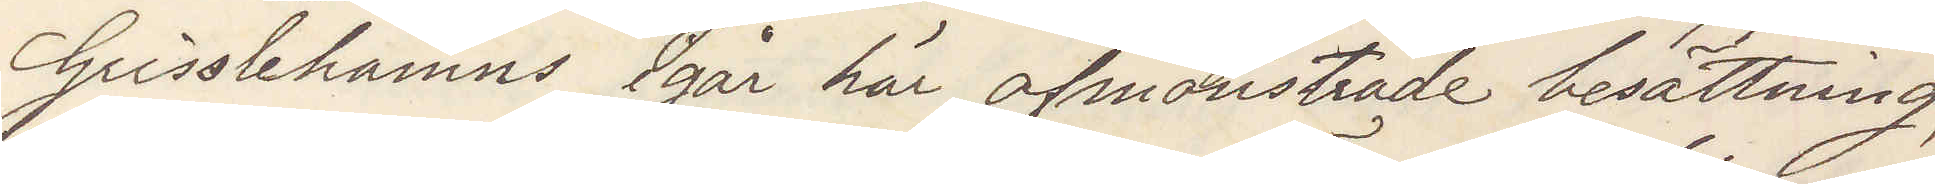Grisslehamns igår här afmönstrade besättning,
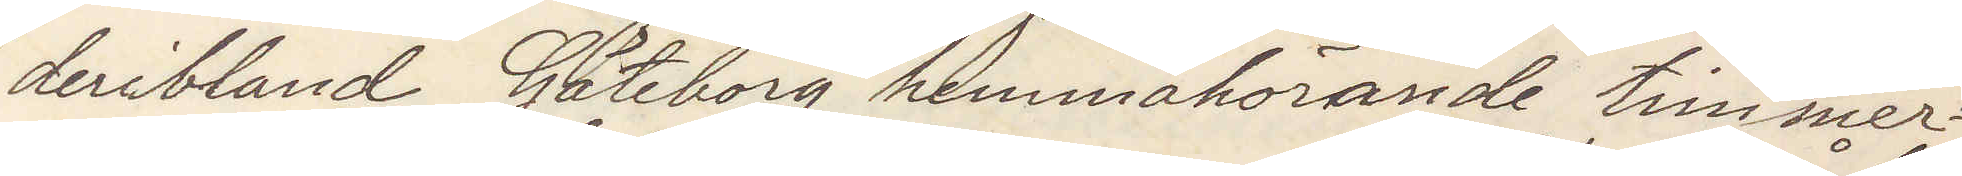deribland Göteborg hemmahörande timmer¬
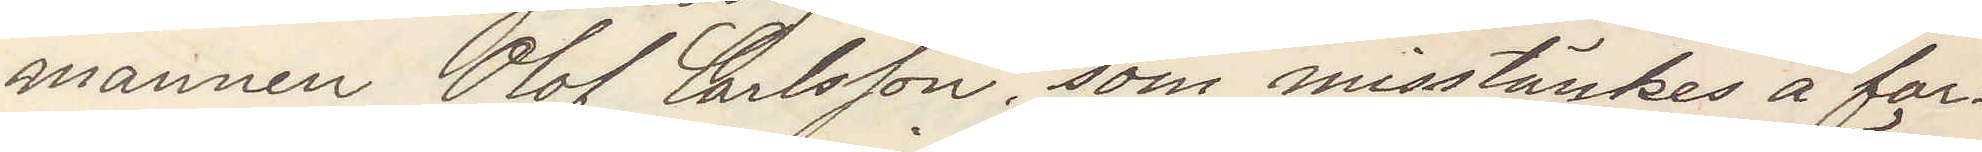mannen Olof Carlsson, som misstänkes å far¬
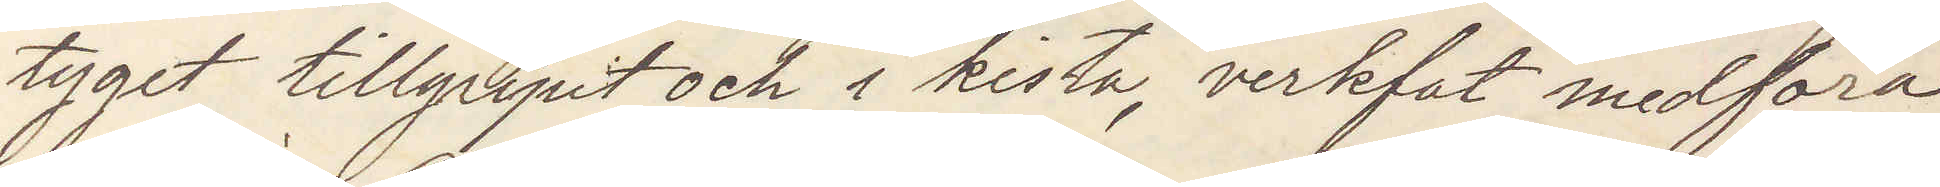tyget tillgripit och i kista verkfat medföra
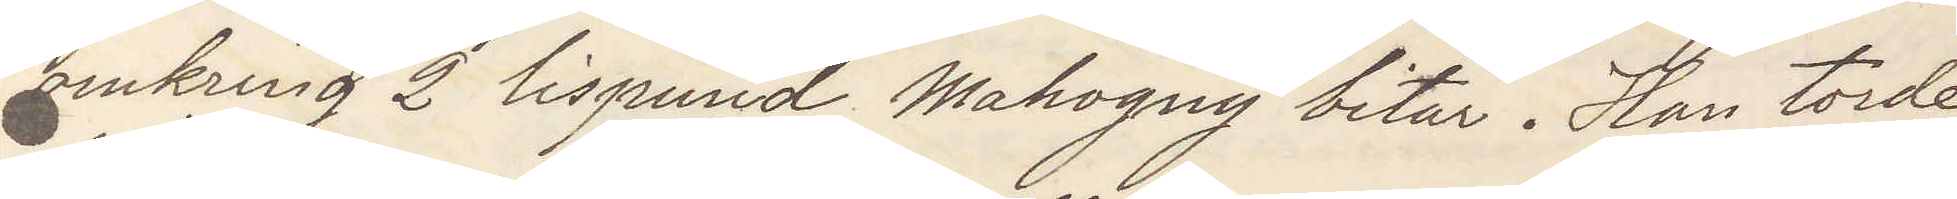omkring 2 lispund Mahogny bitar. Han torde
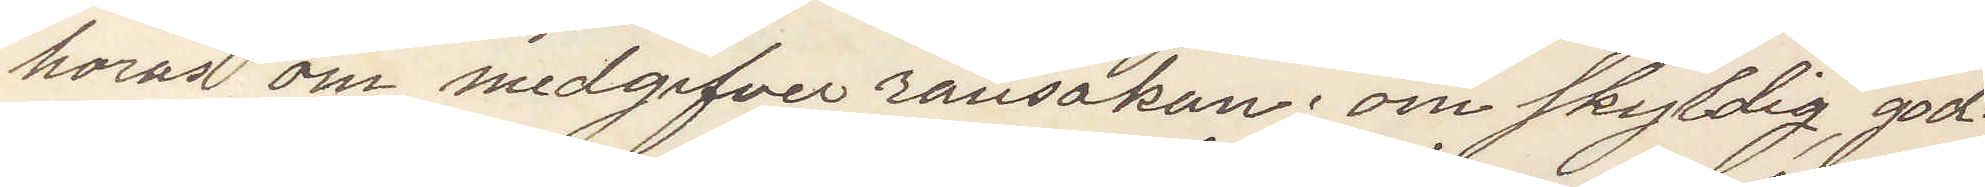höras om medgifver ransakan; om skyldig god¬
